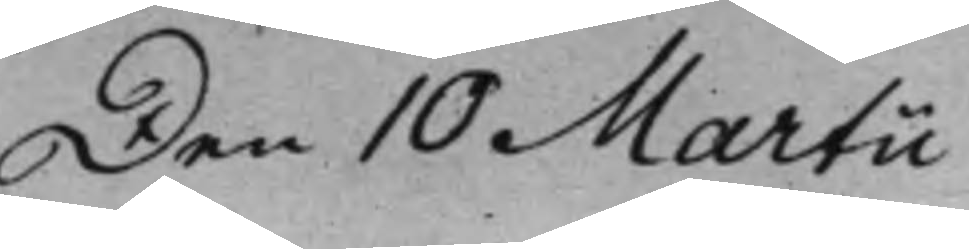Den 10 Martii
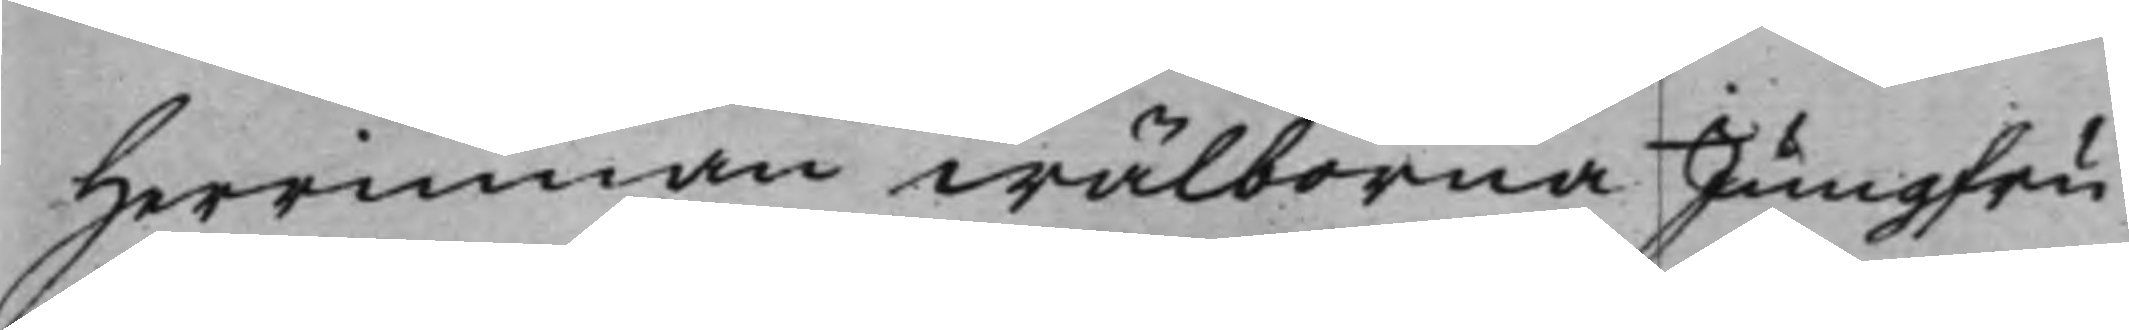Herrinnan wälborna Jungfru
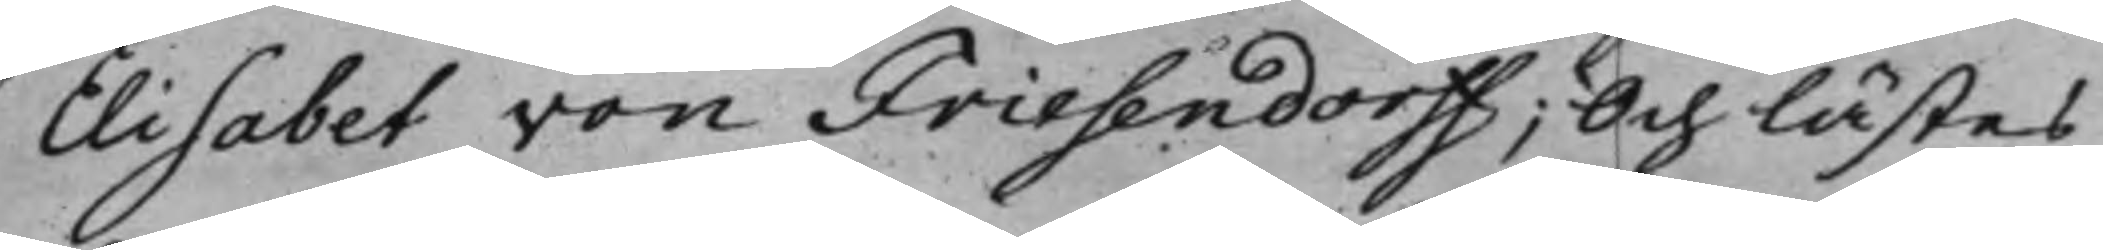Elisabet von Friesendorff; Och lästes
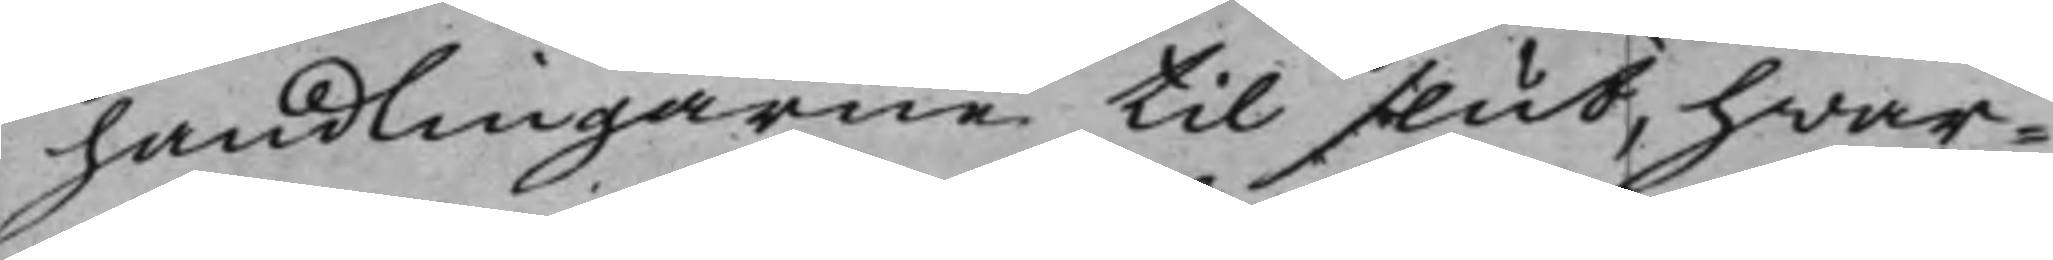handlingarne til slut, hwar¬
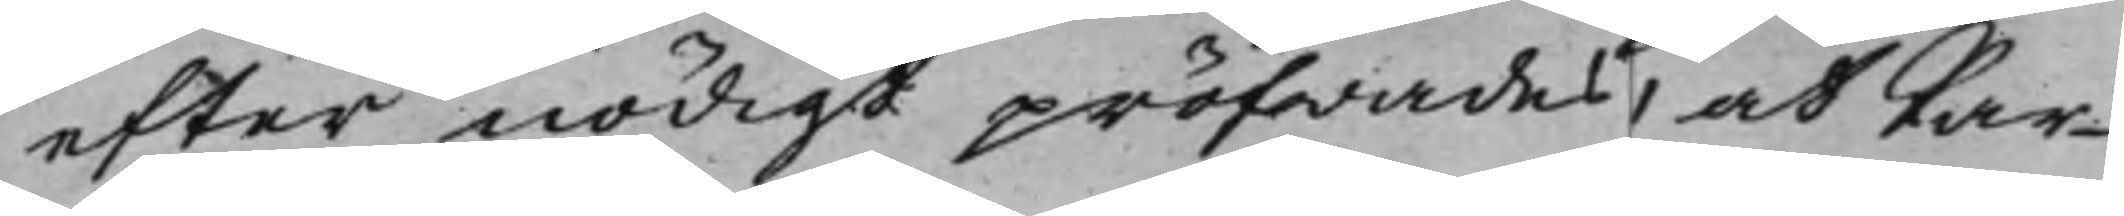efter nödigt pröfwades, at Par¬
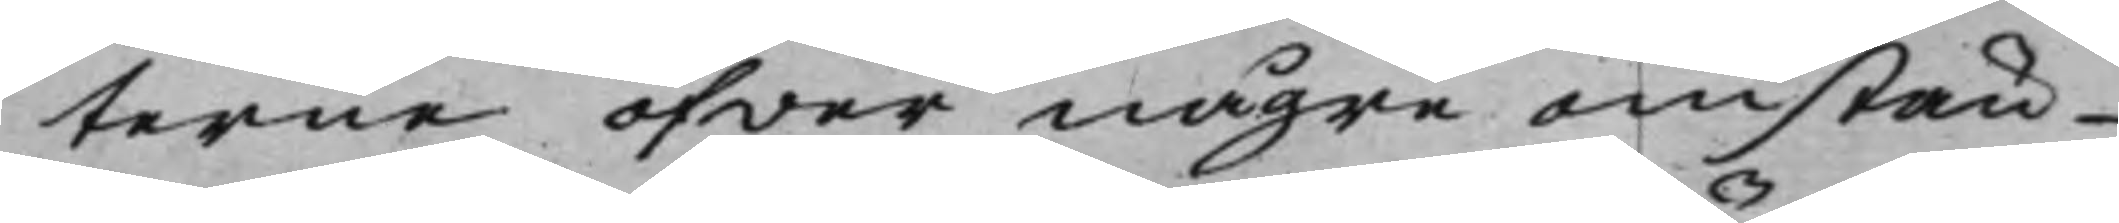terne öfwer någre omstän¬
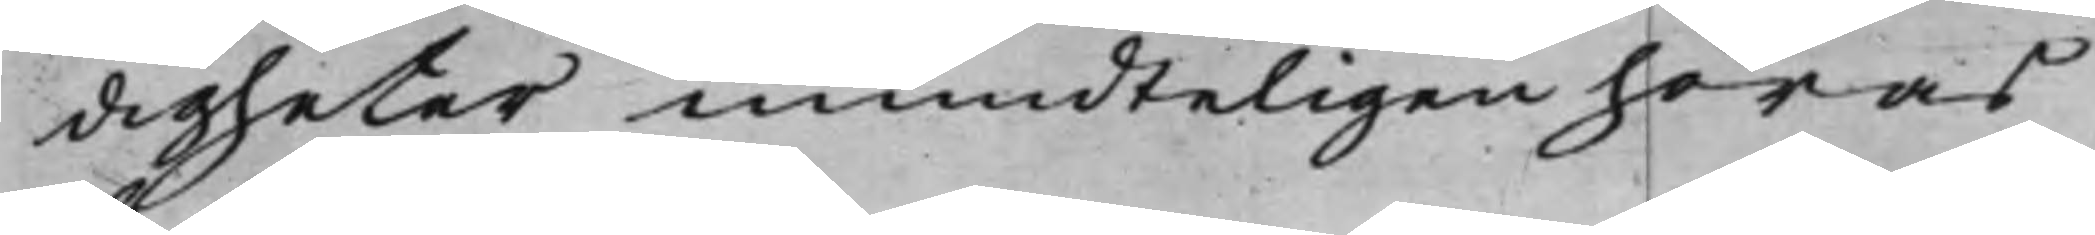digheter mundteligen höras
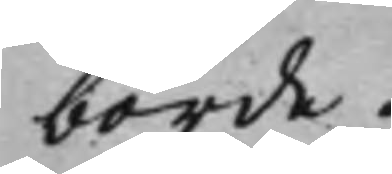borde.
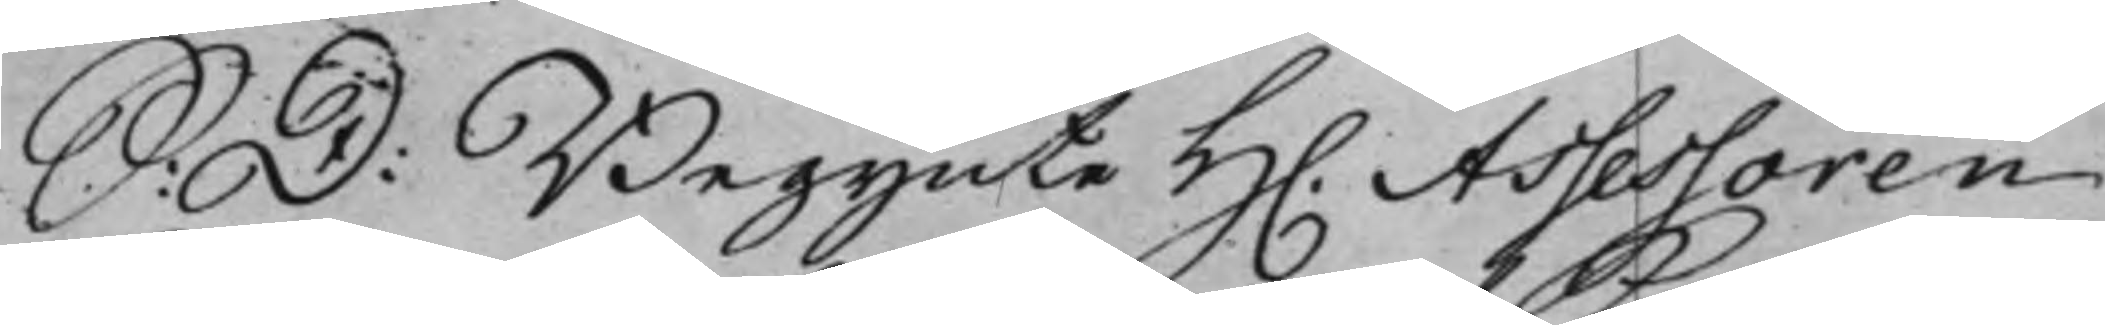S: D: Begynte H. Assessoren
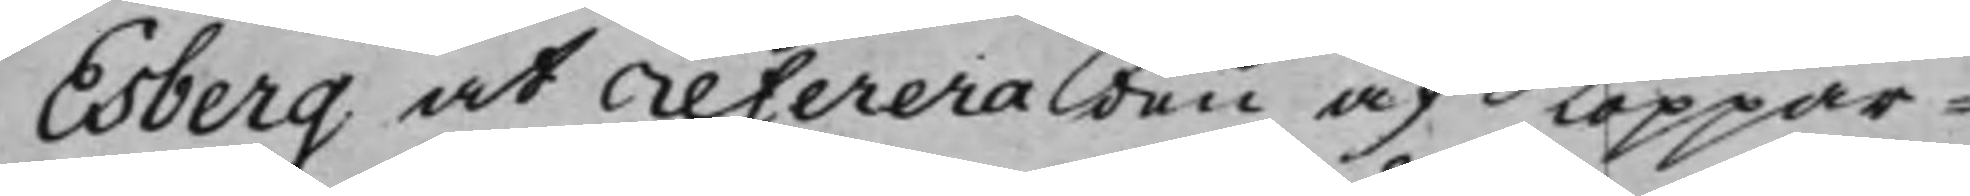Esberg at referera den af Koppar¬
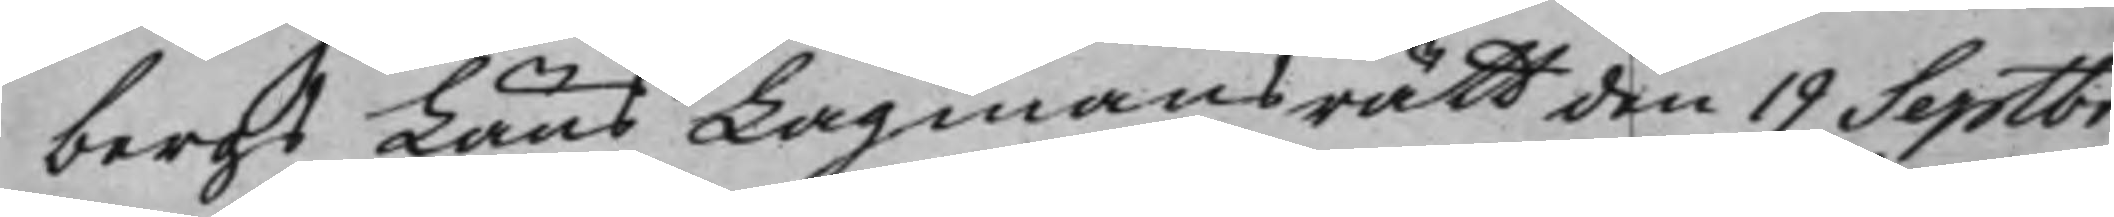bergs Läns Lagmansrätt den 19 Septbr.
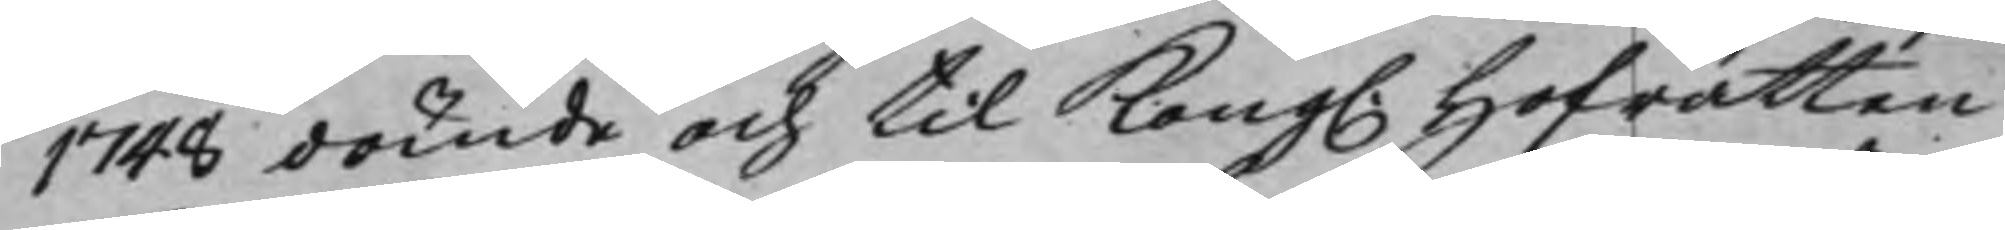1748 dömde och til Kong. Hofrätten
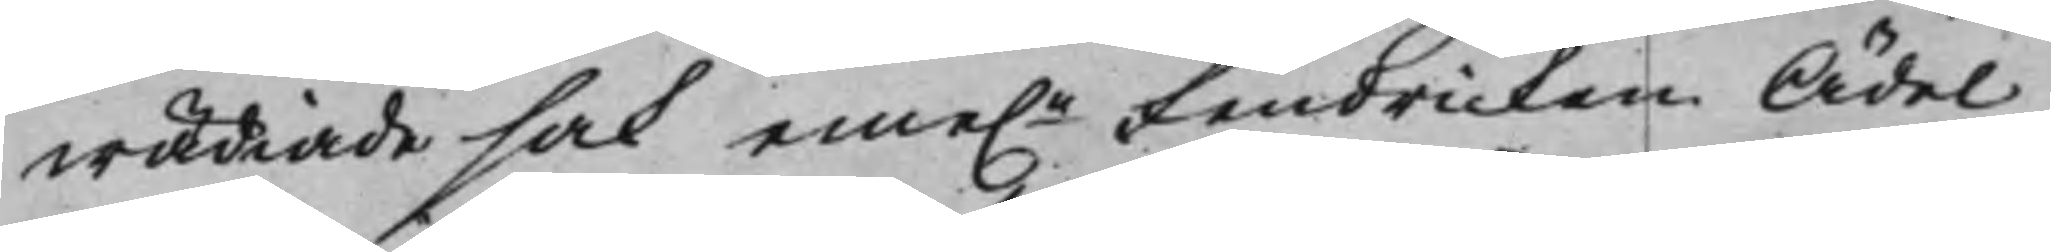wädiade sak eme.n Fendricken Ädel
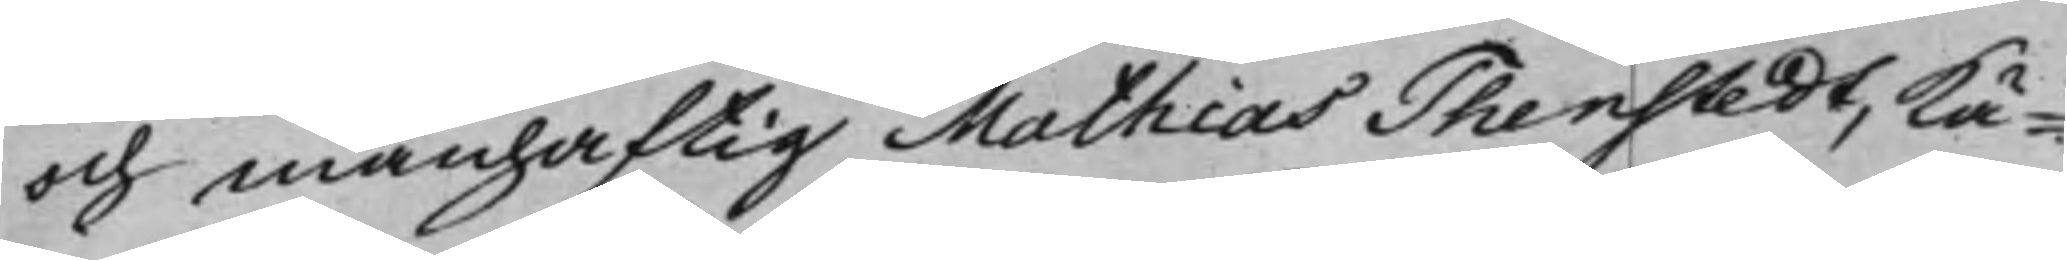och manhaftig Mathias Thenstedt, kä¬
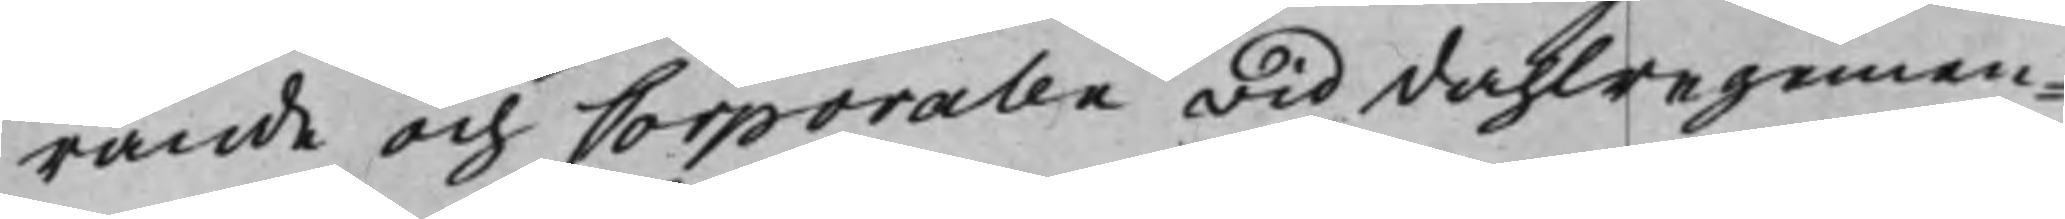rande och Corporalen wid dahlregemen¬
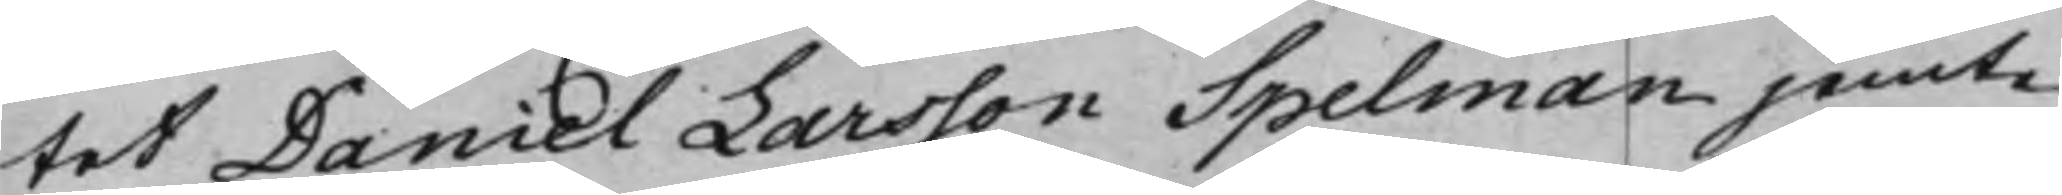tet Daniel Larsson Spelman jemte
